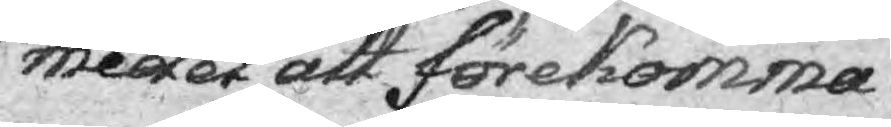medel att förekomma
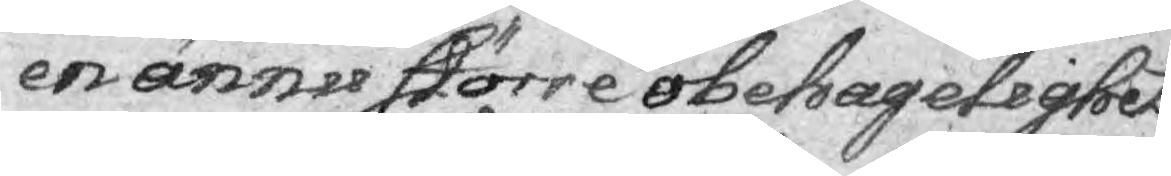en ännu större obehafelighet 
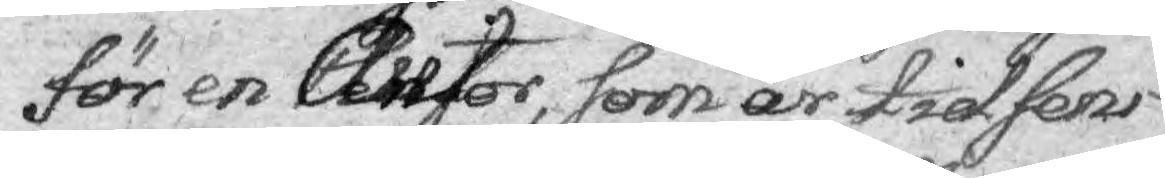för en Censor, som är tidsens
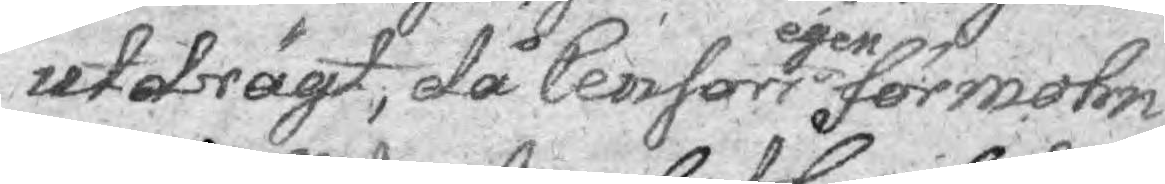utdrägt, då Censors egen förmohn
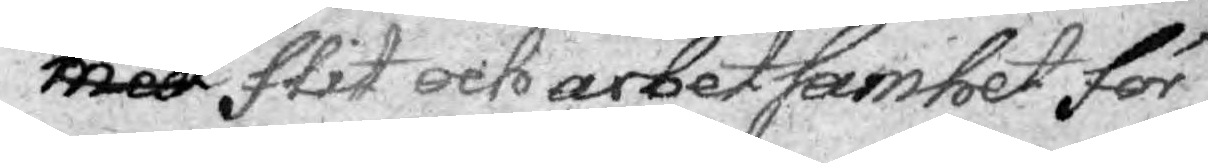med genom slit och arbetsamhet för¬
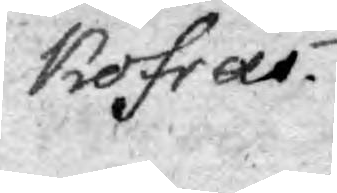kofrar.
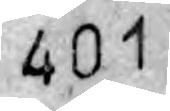401
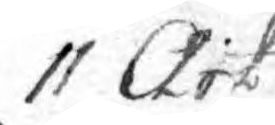11 Art.
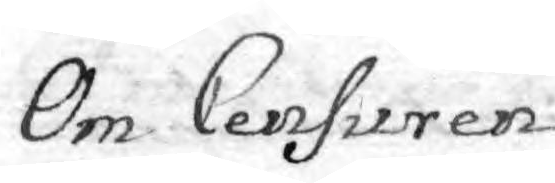Om Censuren
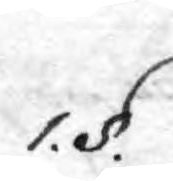1. §.
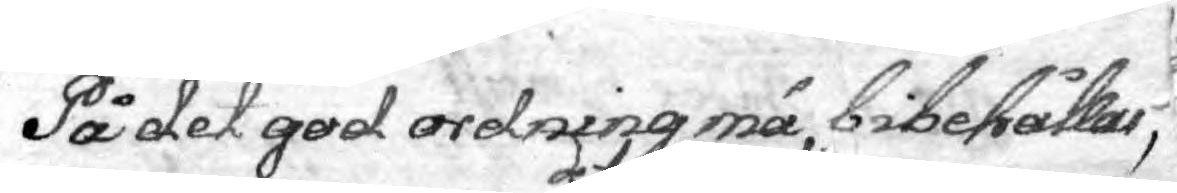På det god ordning må bibehållas,
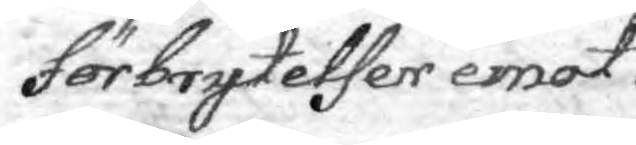Förbrytelser emot 
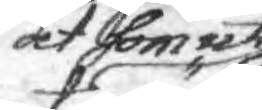at som uti
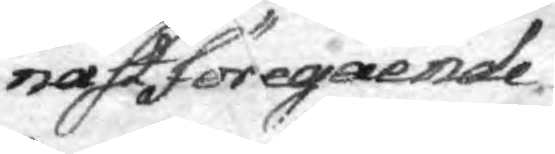nästföregående
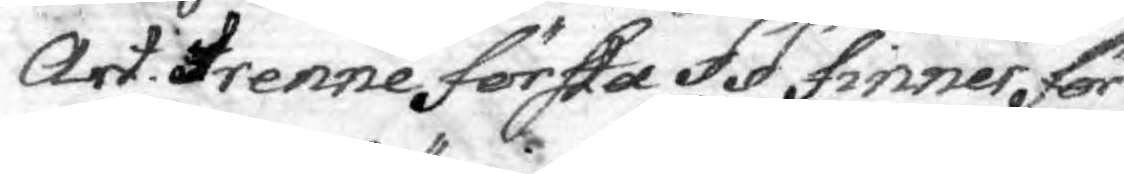Art. trenne första §§ finner för¬
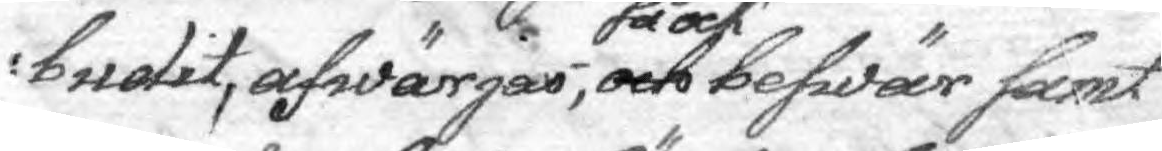budit, afwärjas, och så ock beswär samt
